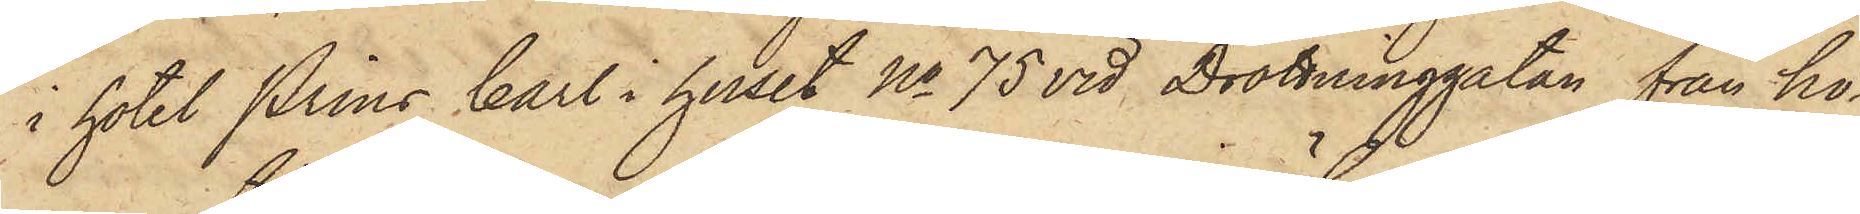i hotel Prins Carl i huset No 75 vid Drottninggatan från ho¬
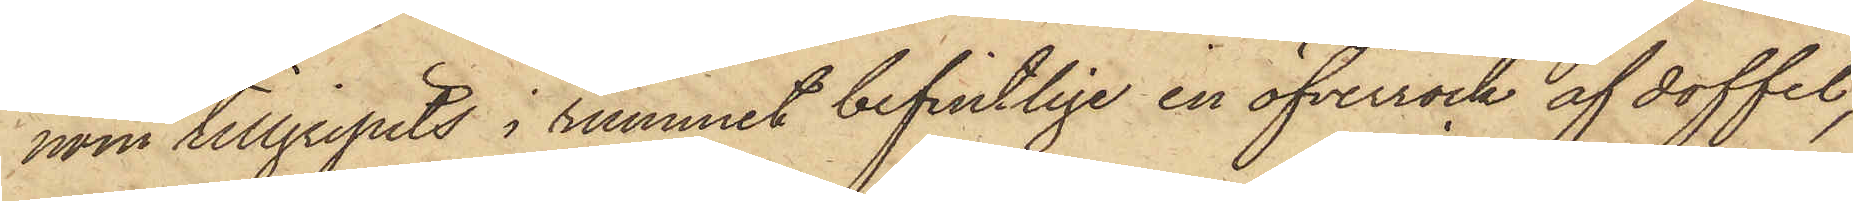nom tillgripits i rummet befintlige en öfverrock af doffel,
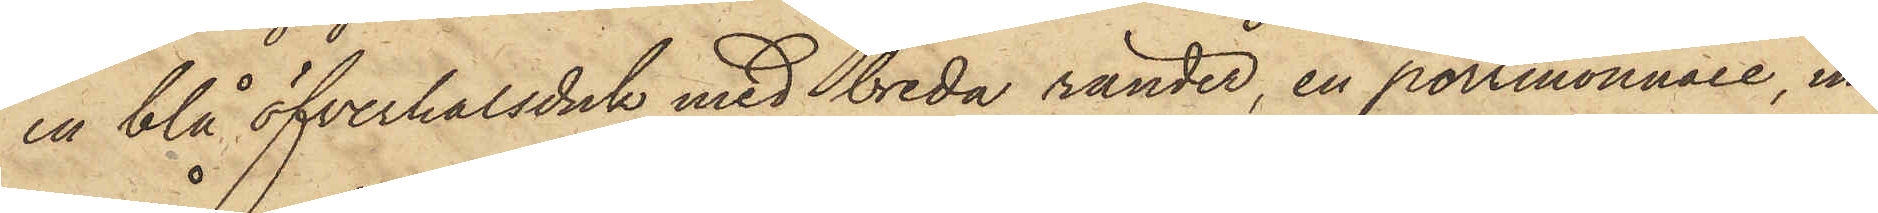en blå öfverhalsduk med breda ränder, en portmonnaie, in¬
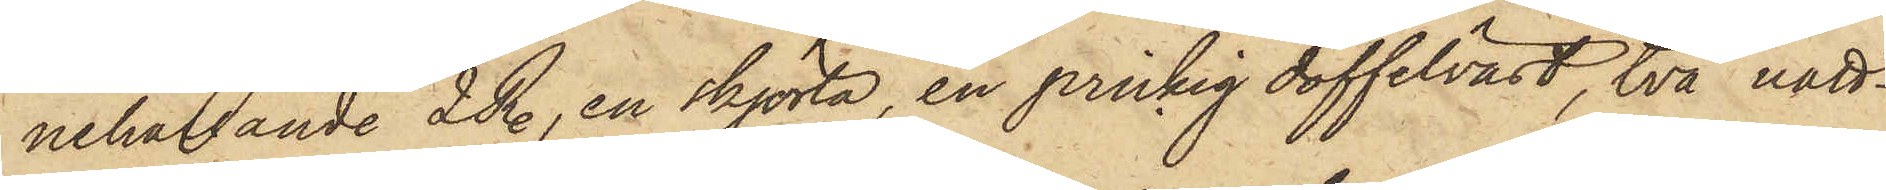nehållande 2 R., en skjorta, en prickig doffelväst, två natt¬
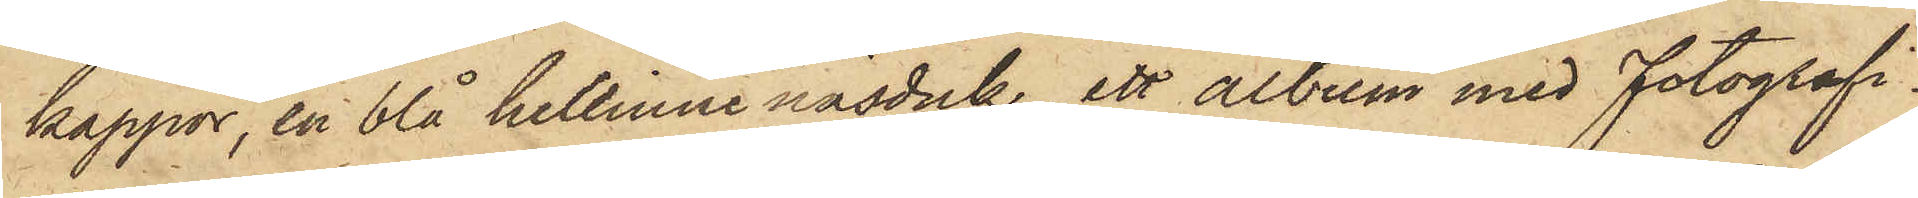kappor, en blå hellinne näsduk, ett album med Fotografi¬
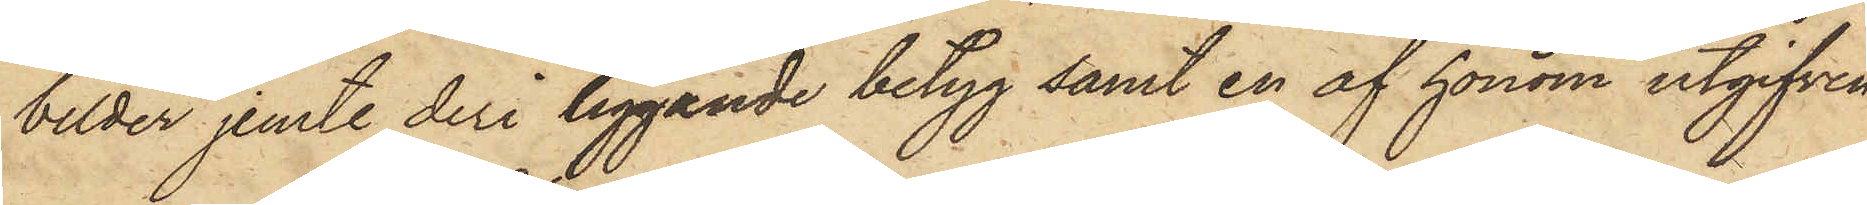bilder jemte deri liggande betyg samt en af honom utgifven
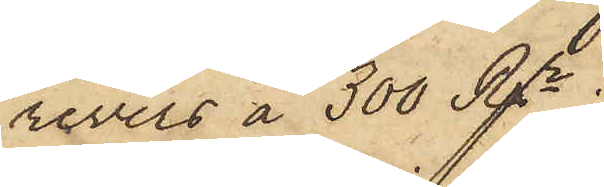revers å 300 Rgr.
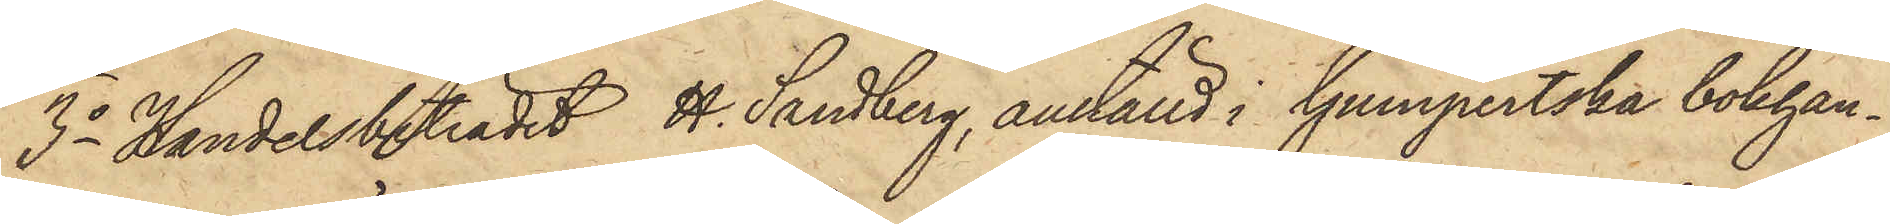3o Handelsbiträdet H. Sandberg, anställd i Gumpertska bokhan¬
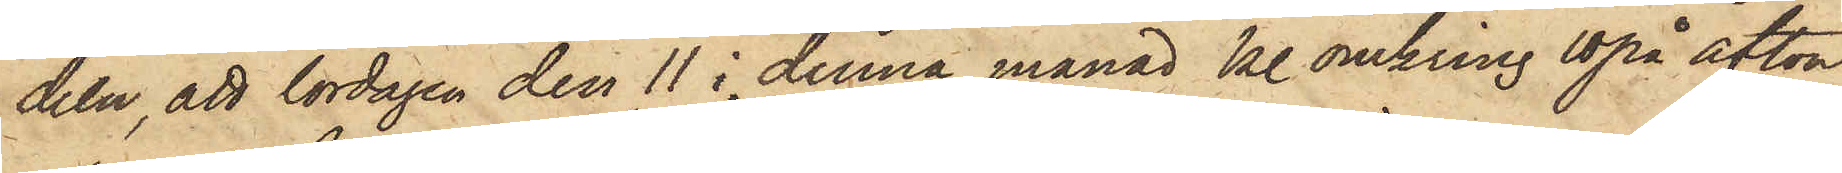deln, att lördagen den 11 i denna månad kl omkring 10 på afton
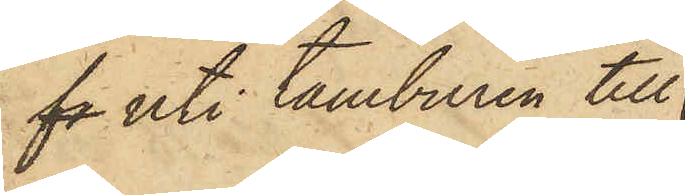f uti tamburen till
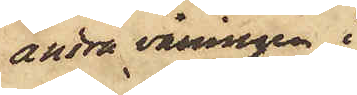andra våningen i
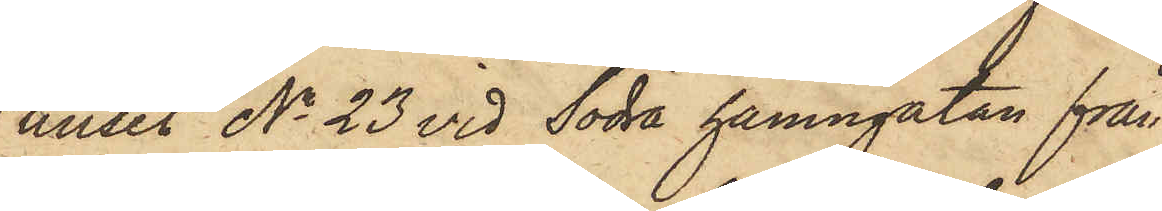huset No 23 vid Södra hamngatan från
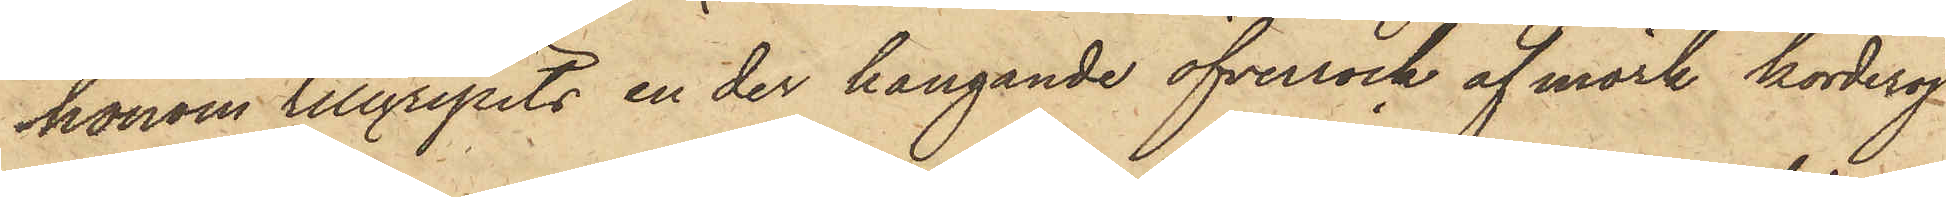honom tillgripits en der hangande öfverrock af mörk korderoj
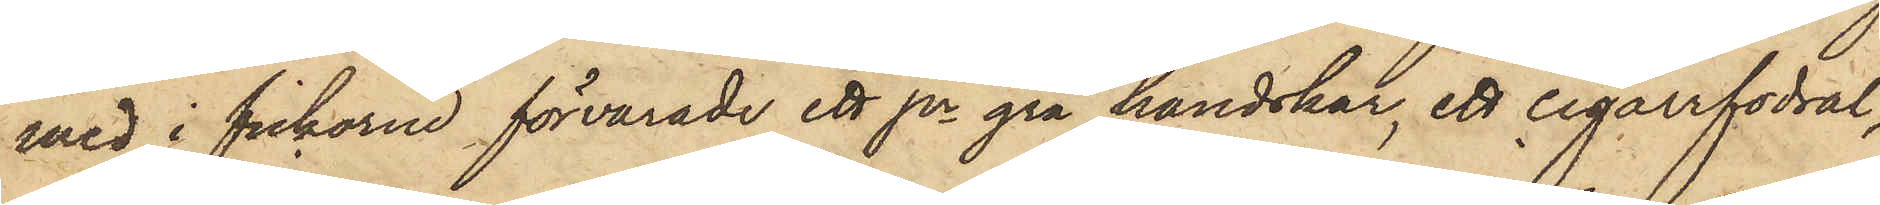med i fickarne förvarade ett pr grå handskar, ett cigarrfodral,
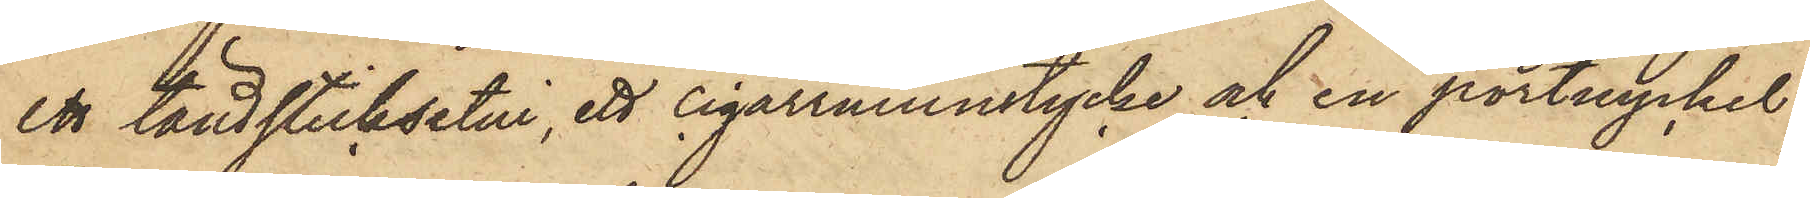ett tändsticksetui, ett cigarrmunstycke och en portnyckel.
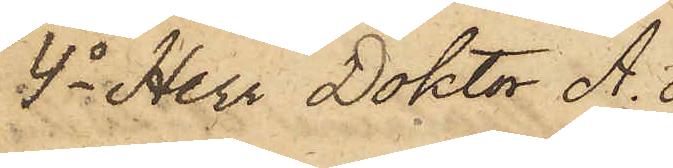4o Herr Doktor A.
